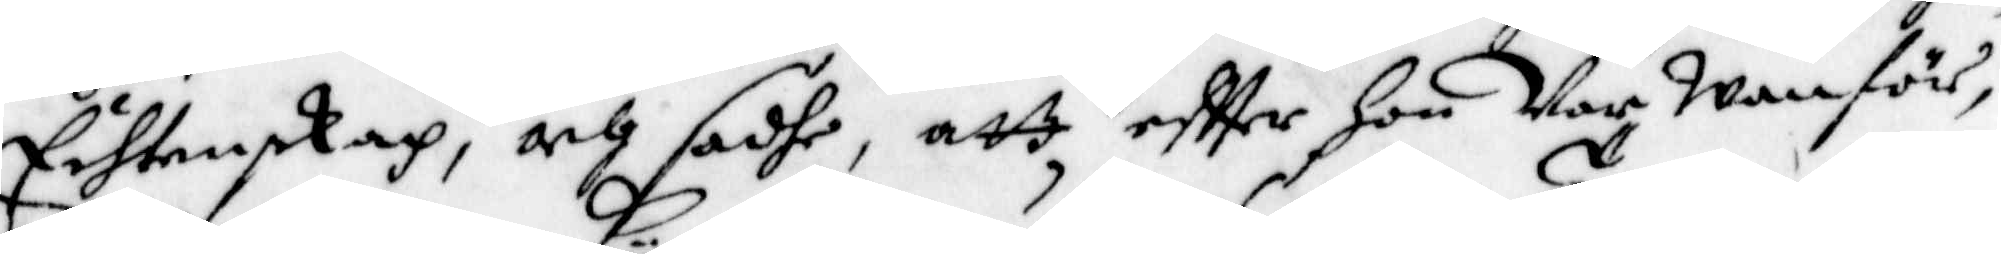Echtenskap, och sadhe, att eftter hon Var Wanför,
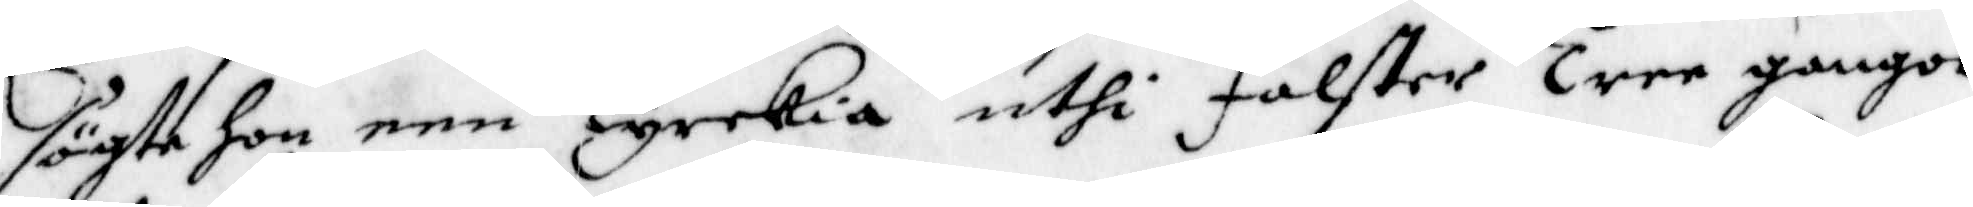sögte hon een Kyrkia uthi Falster Tree gangor
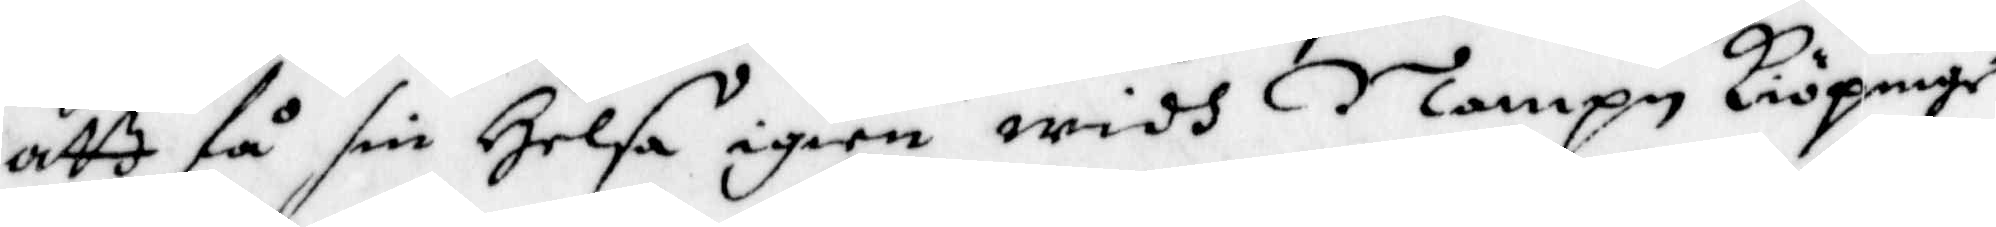att få sin Helsa igien widh Nampn Kiöpinge
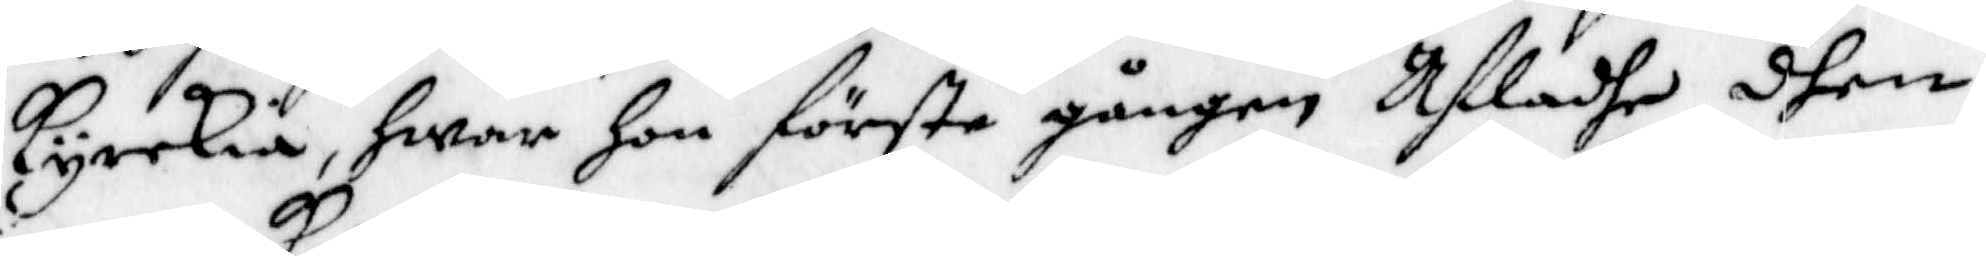kyrckia, hwar hon första gången Afladhe dhen
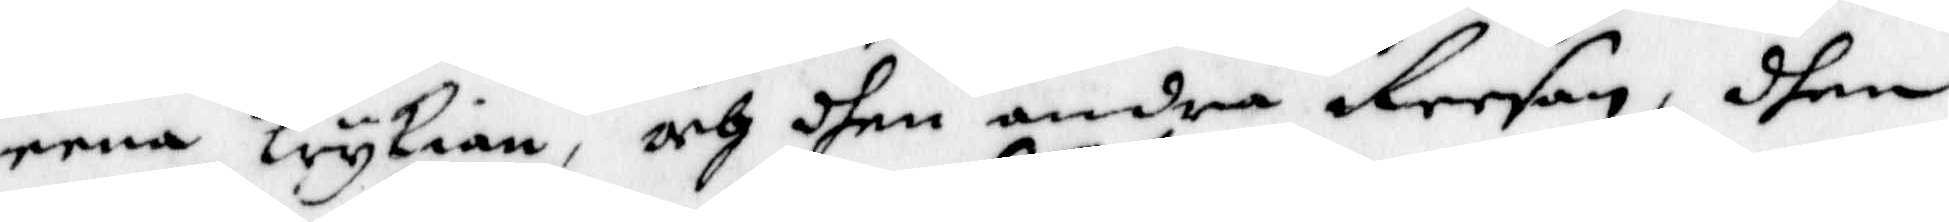eena krykian, och dhen andra Reesan, dhen
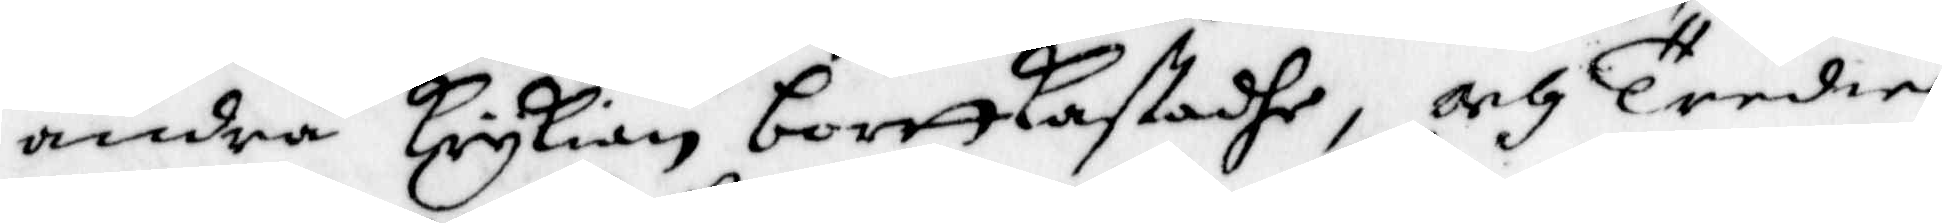andra Krykian bortkastadhe, och Tredie
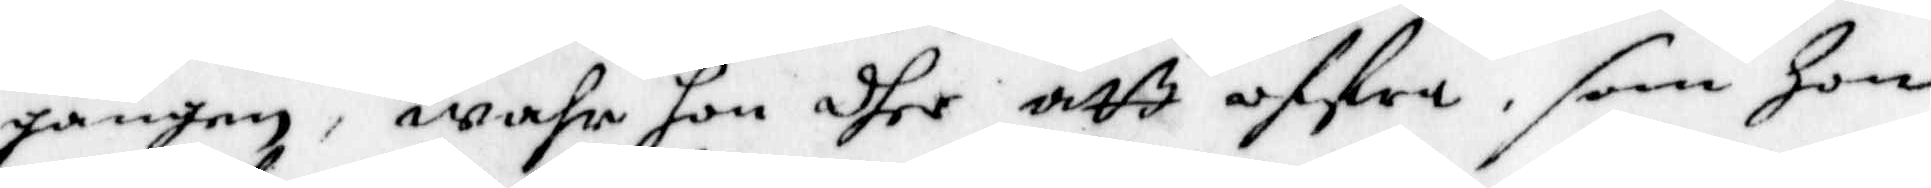gången, wahr hon dher att offra, som Hon
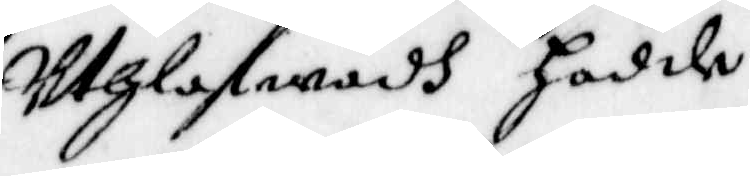Uthlofwadh Hadde.
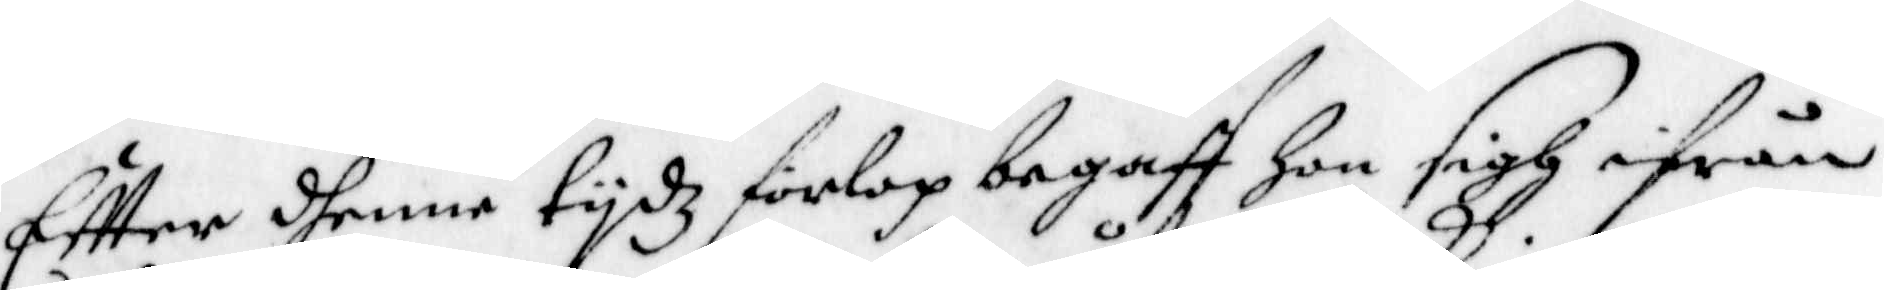Effter dhenne tydz förlop begaff Hon sigh ifrån
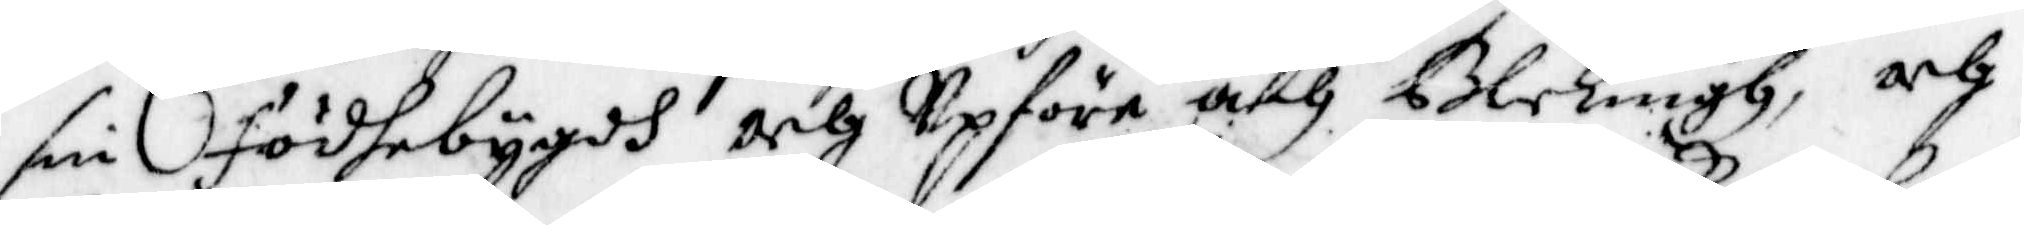sin födhebygdh och Upföre åth Blekingh, och
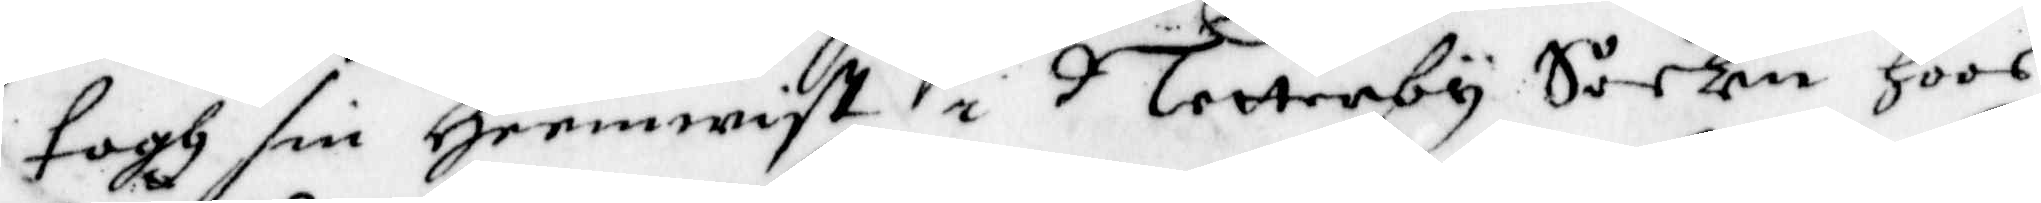togh sin Hemwist i Netterby Sockn hoos
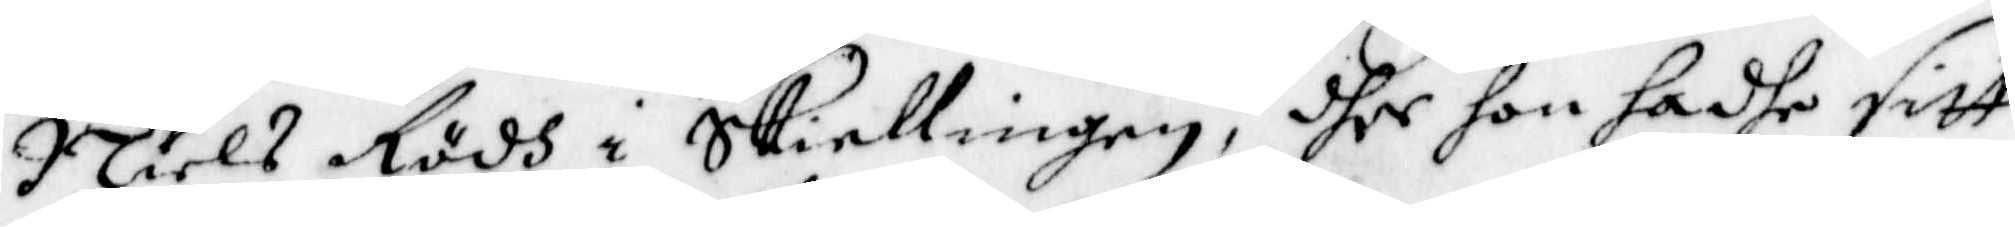Niels Rödh i Skiellingen, dher hon hadhe sitt
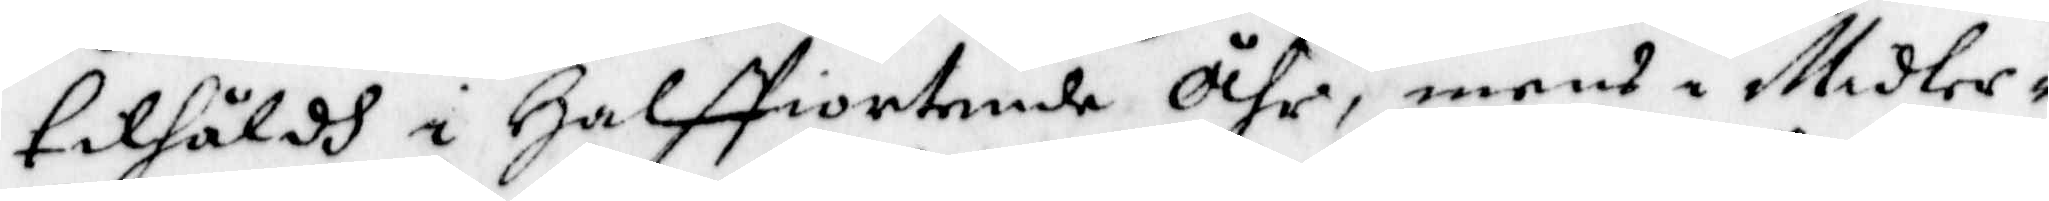tilhåldh i Halffiortende Åhr, mens i Midler¬
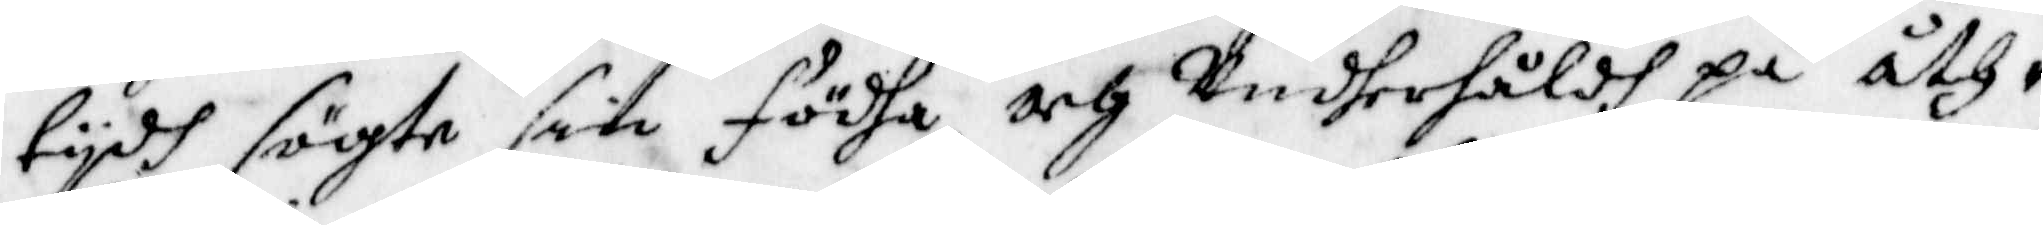tydh sögte sin födha och Underhåldh på åth¬
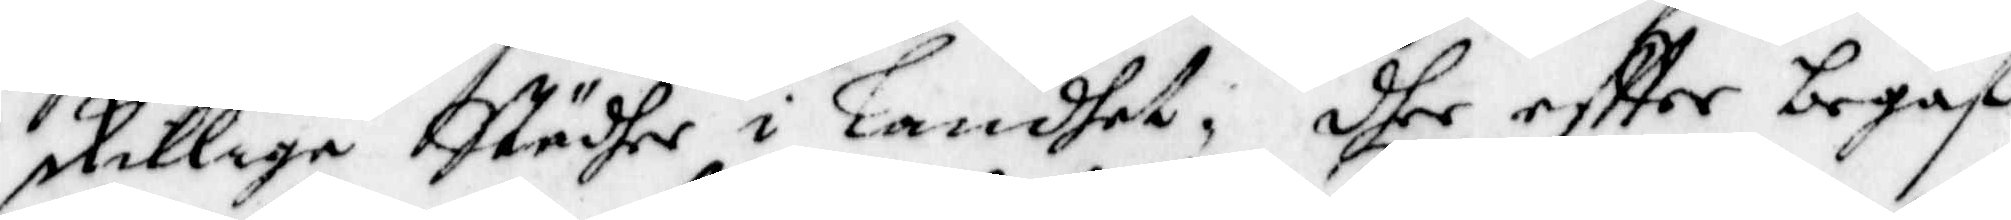skillige Städher i Landet, dher eftter begaf
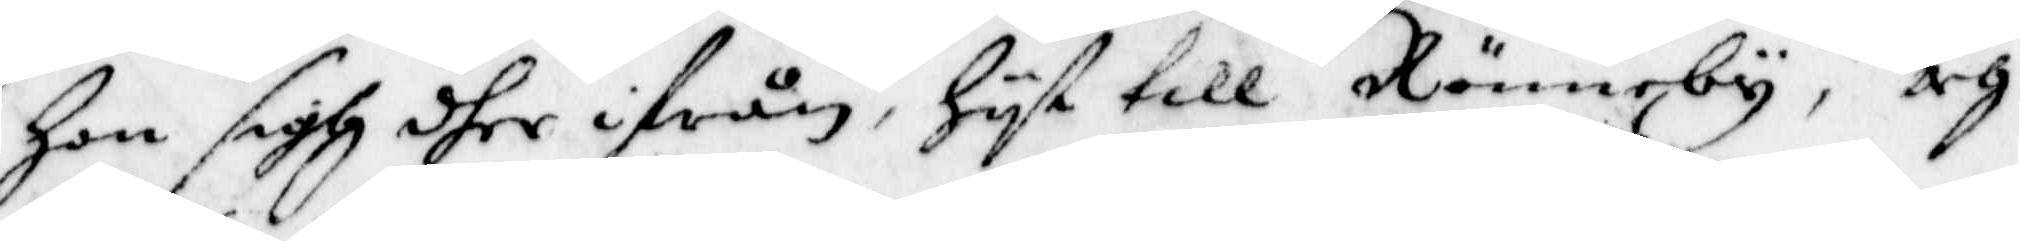hon sigh dher ifrån, Hyt till Rönneby, och
